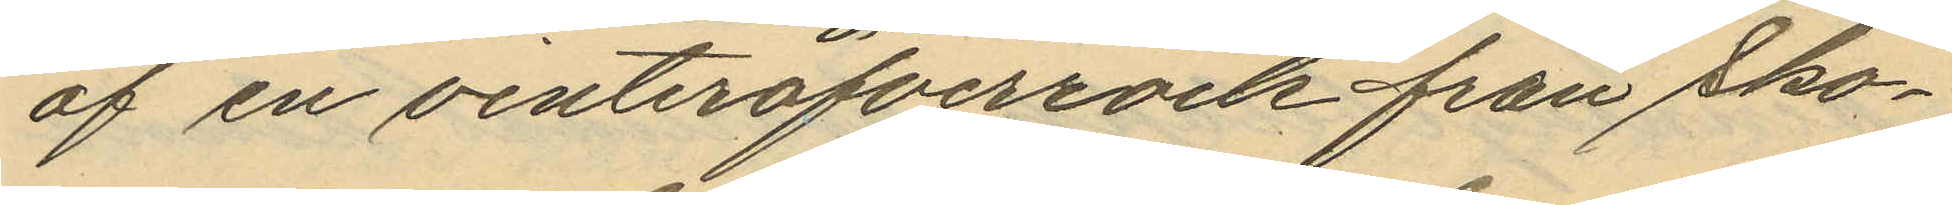af en vinteröfverrock från Sko¬
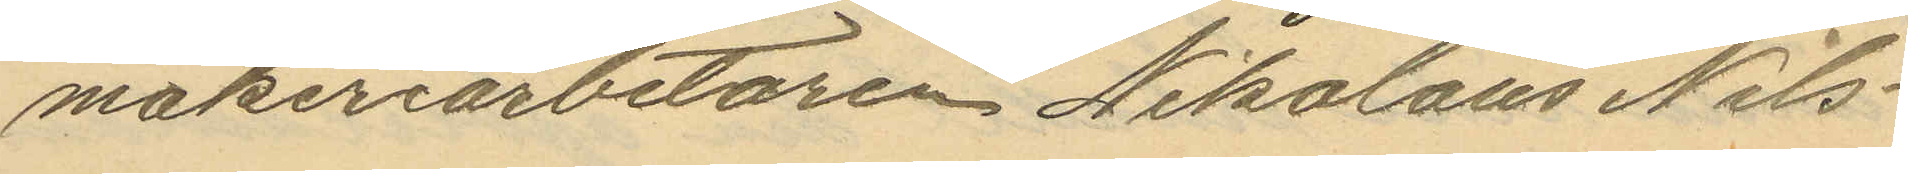makeriarbetaren Nikolaus Nils¬
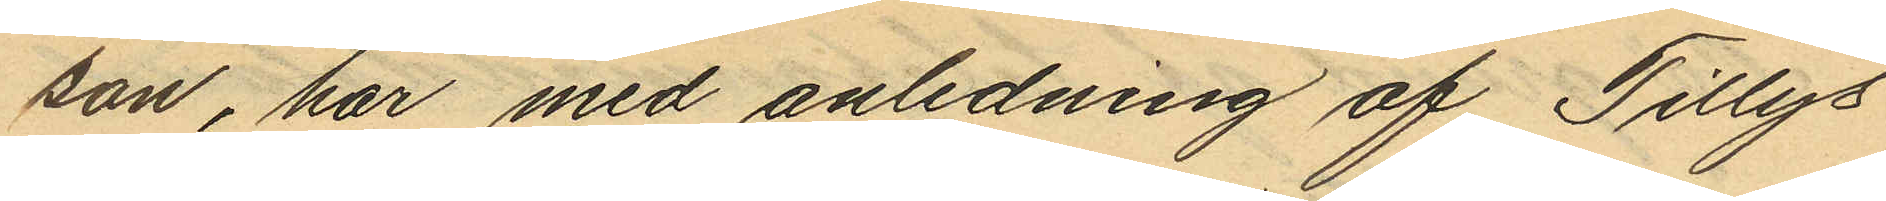son, har med anledning af Tillys
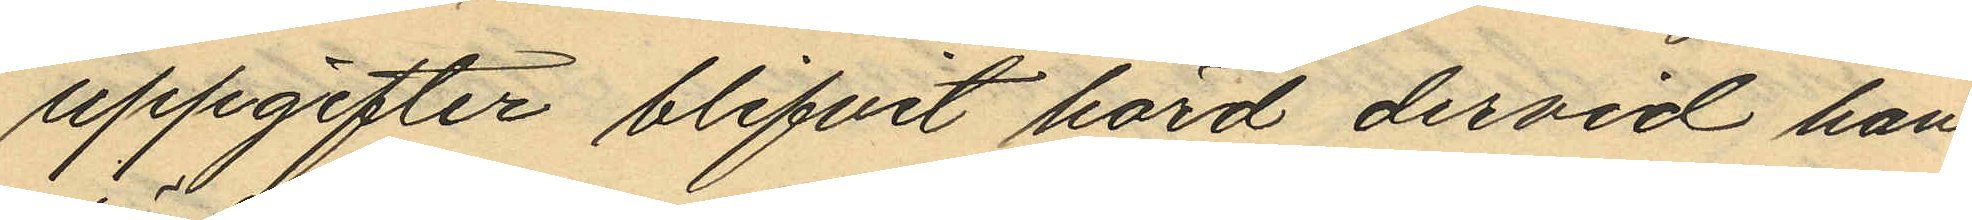uppgifter blifvit hörd dervid han
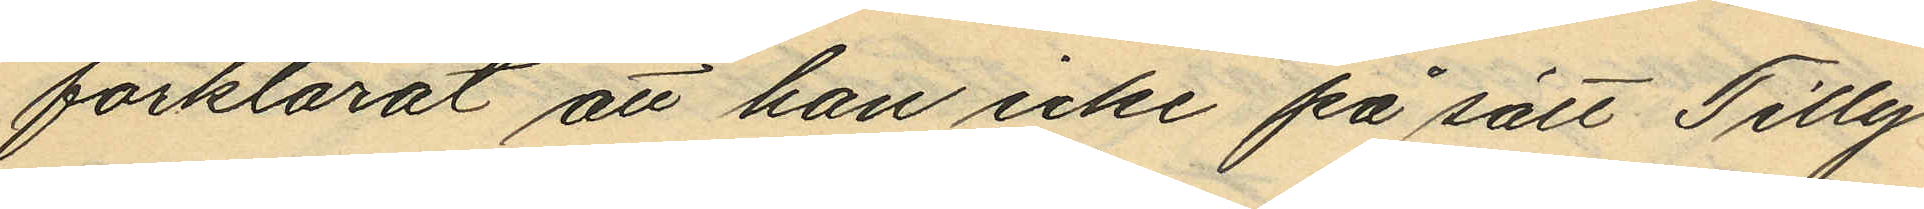förklarat att han icke på sätt Tilly
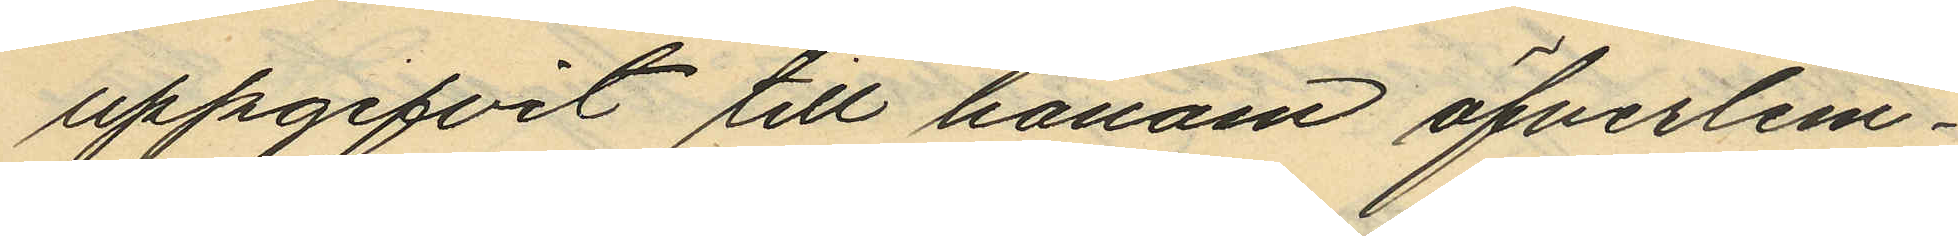uppgifvit till honom öfverlem¬
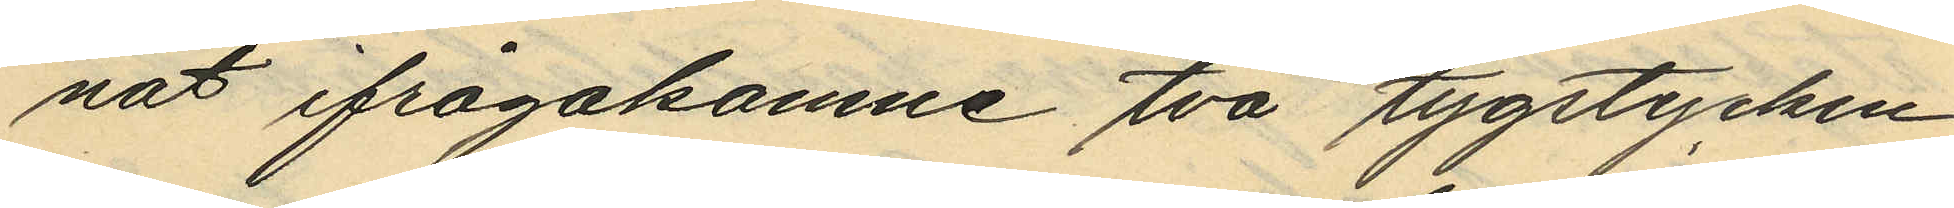nat ifrågakomne två tygstycken
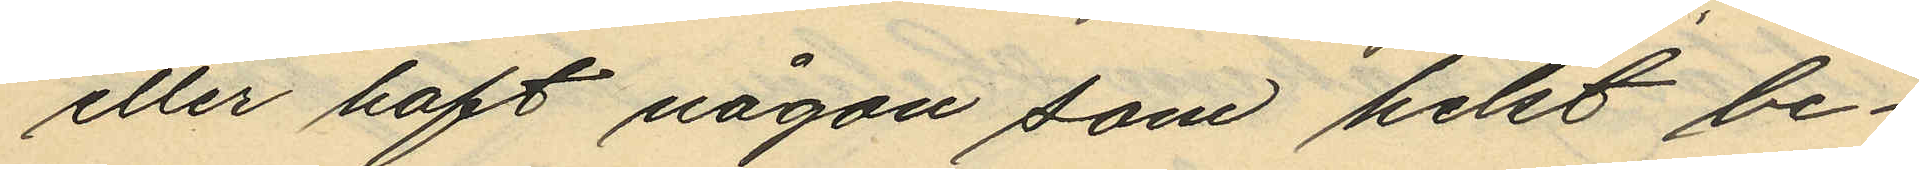eller haft någon som helst be¬
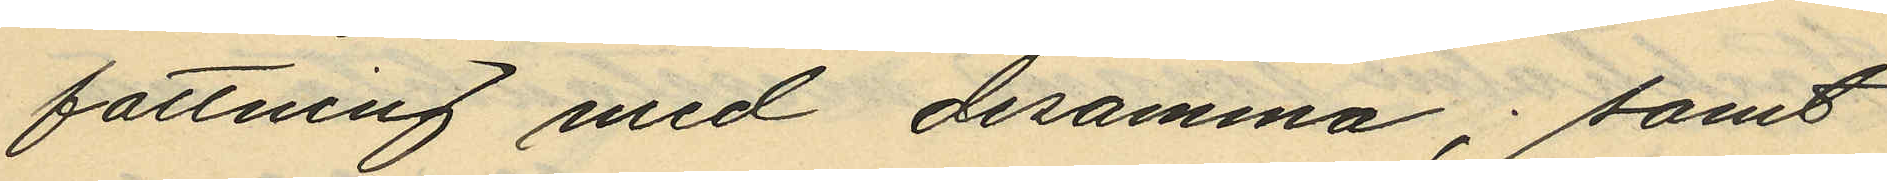fattning med desamma; samt
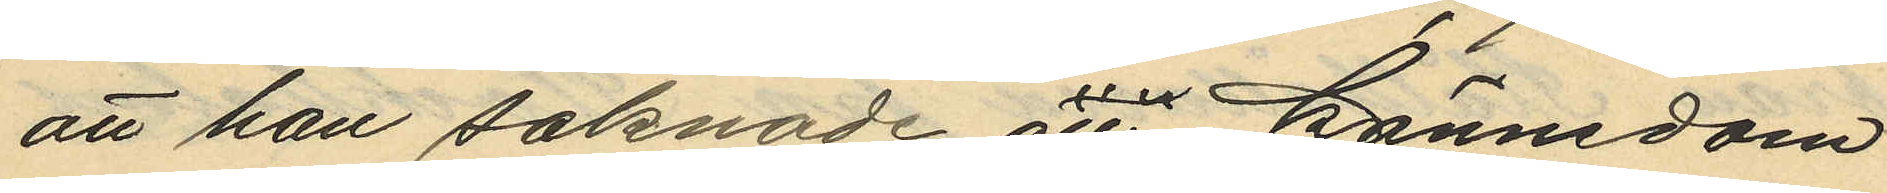att han saknade all kännedom
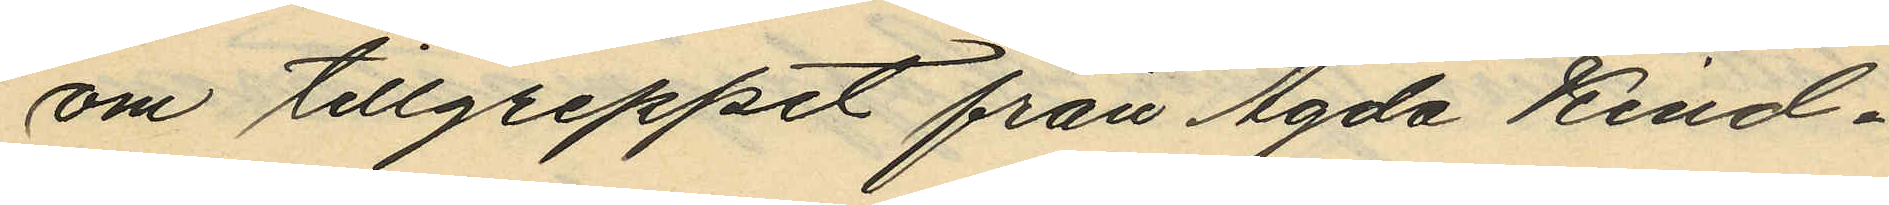om tillgreppet från Agda Kind¬
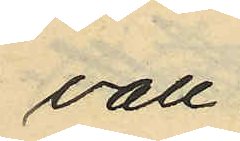vall.
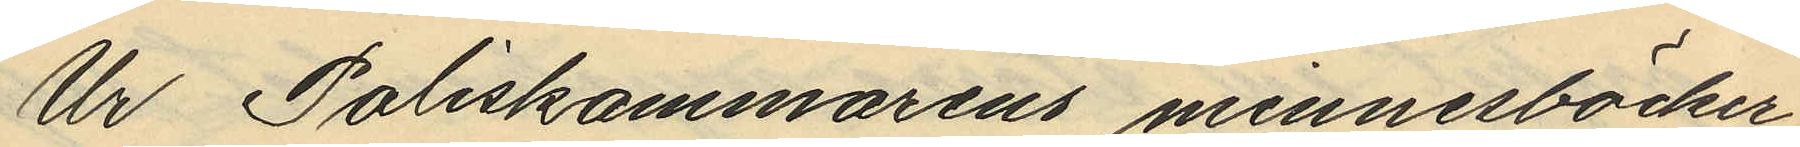Ur Poliskammarens minnesböcker
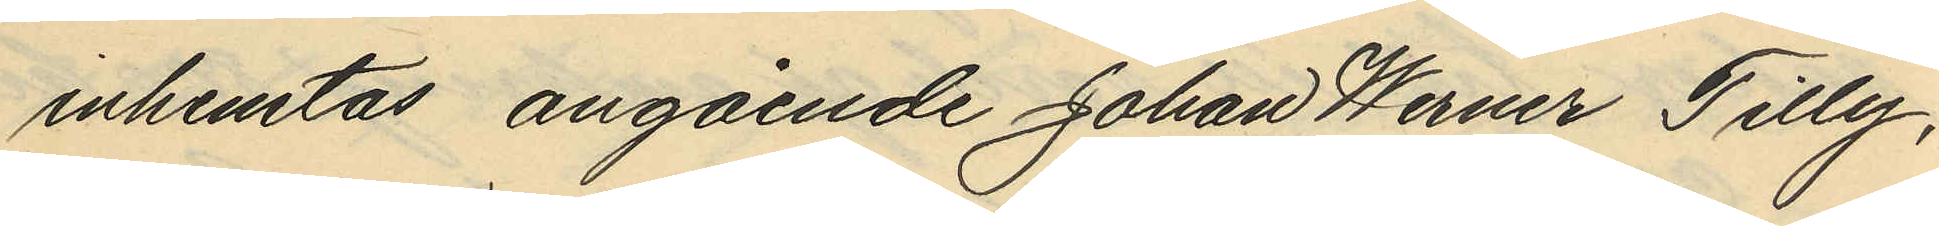inhemtas, angående Johan Werner Tilly
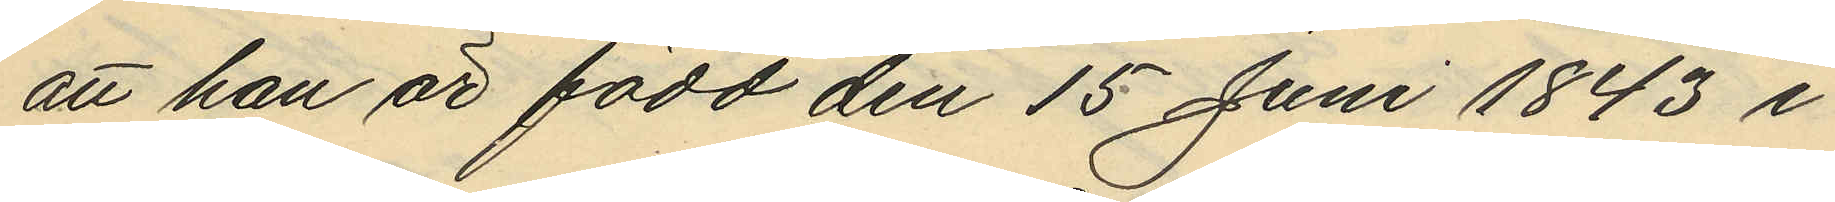att han är född den 15 Juni 1843 i
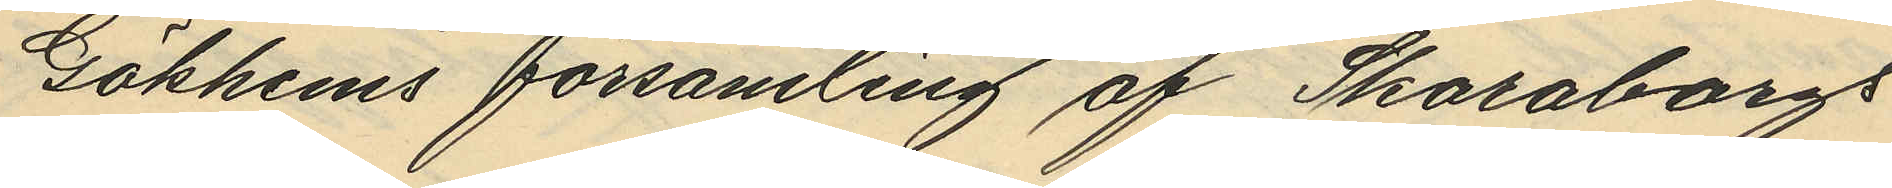Gökhems församling af Skaraborgs
